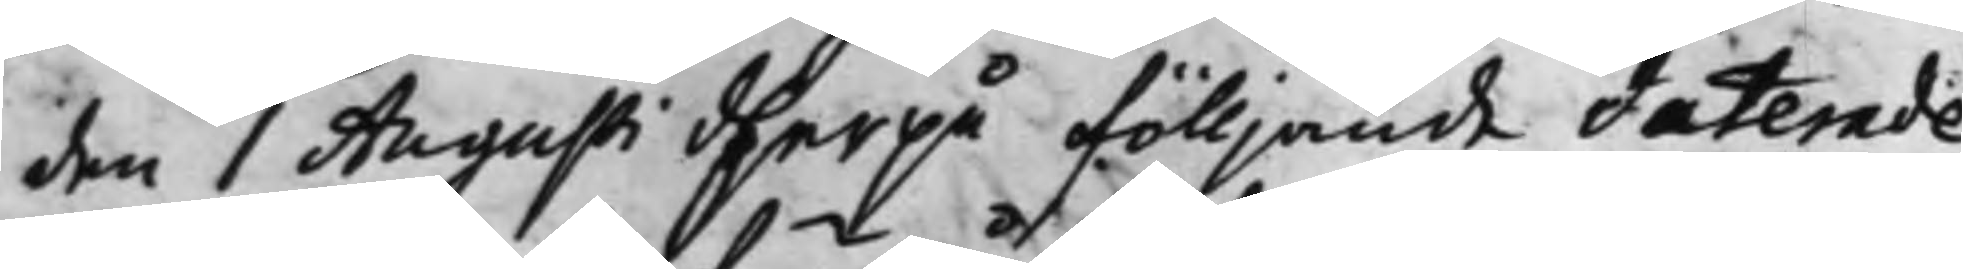den 1 Augusti dherpå fölljande daterade
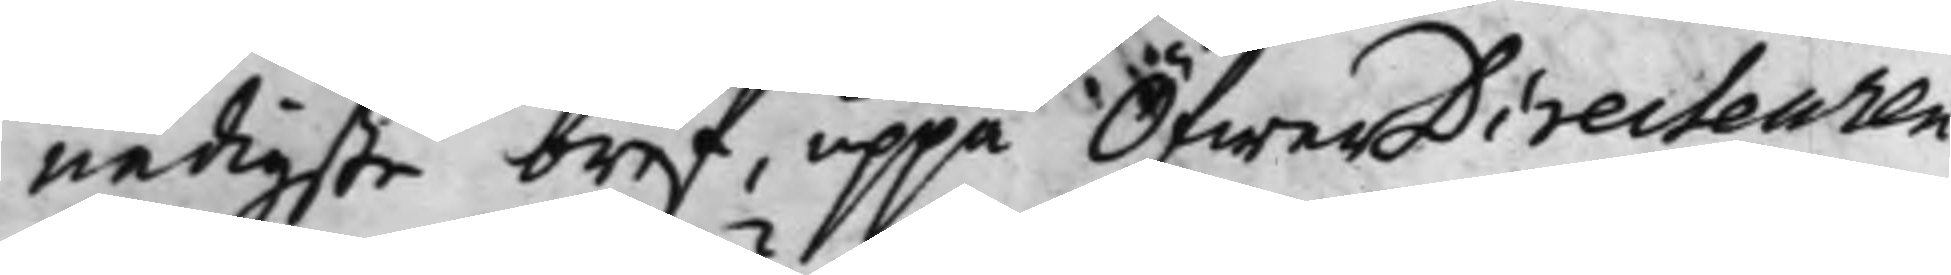nådigste bref, uppå ÖfwerDirecteuren
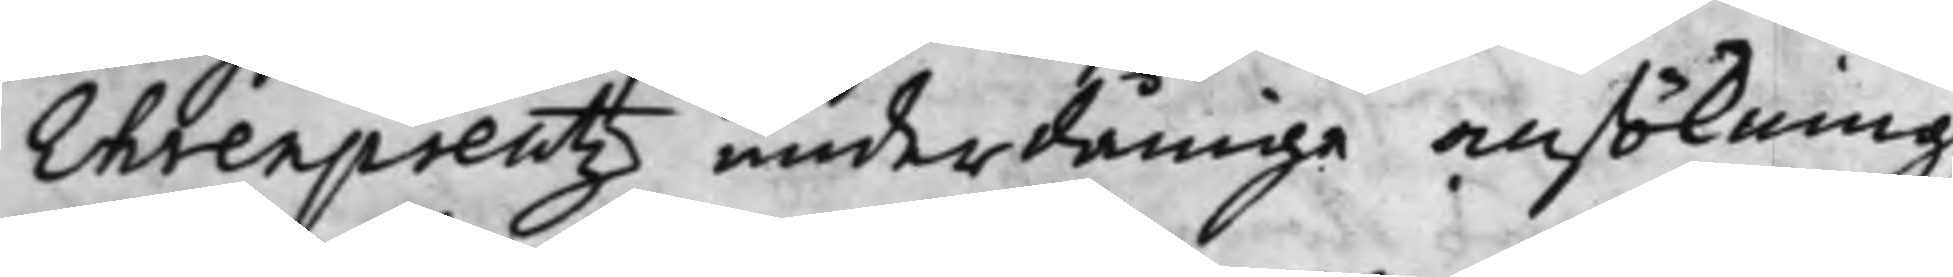Erenpreutz underdånige ansökning
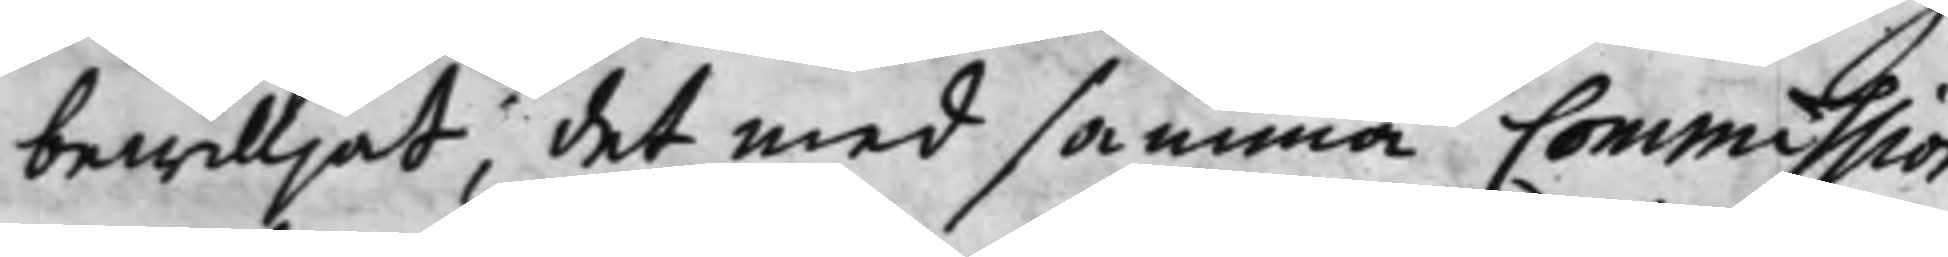bewilljat det med samma Commission
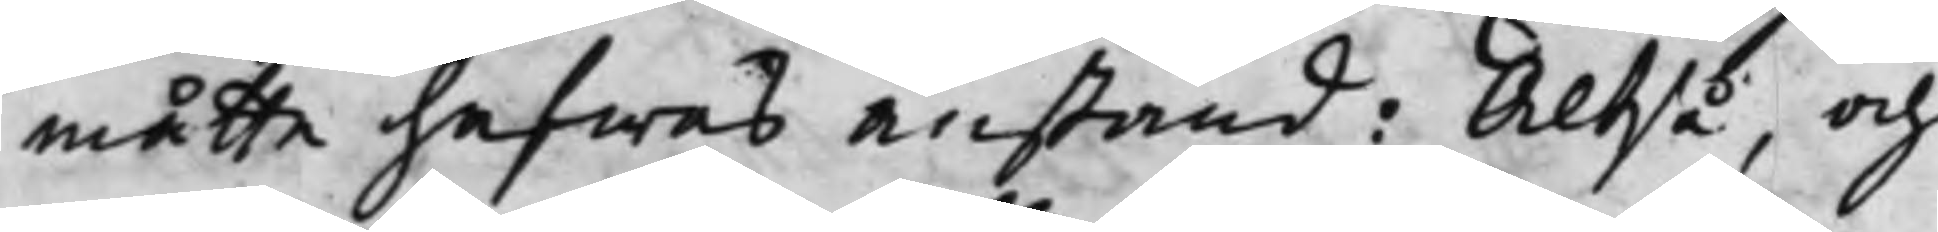måtte hafwas anstånd: Altså, och
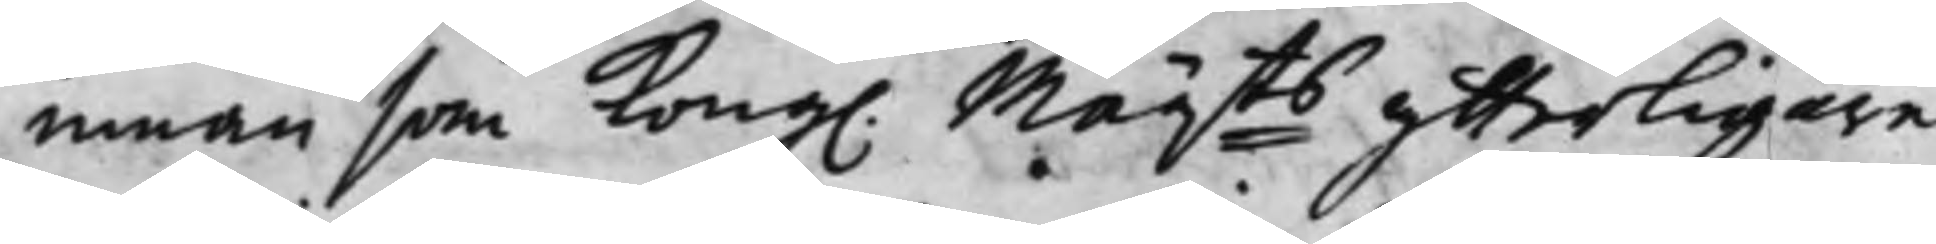innan som Kong. Maij:ts ytterligare 
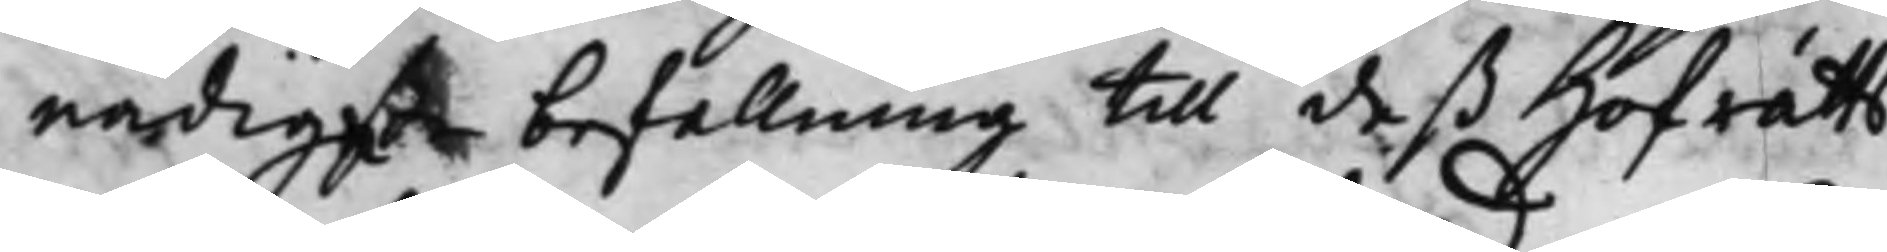nådigste befallning til deß Hofrätts
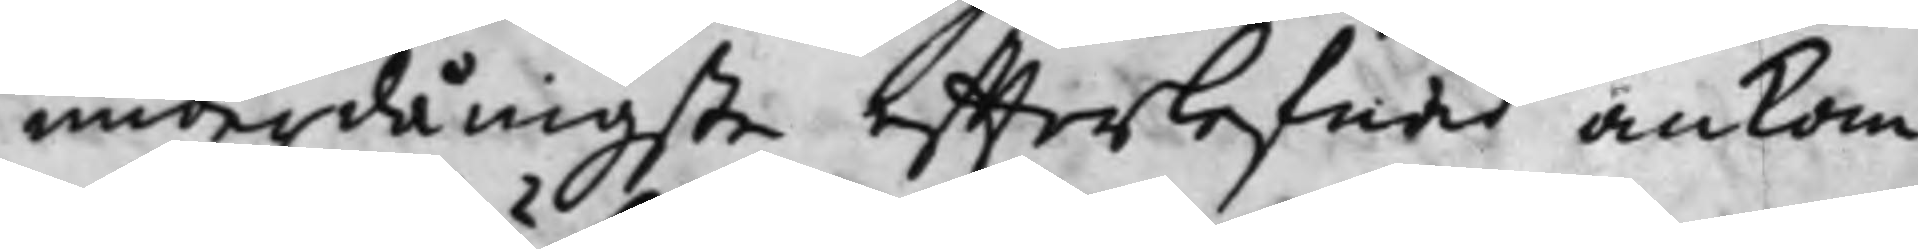underdånigste effterlefnad ankom¬
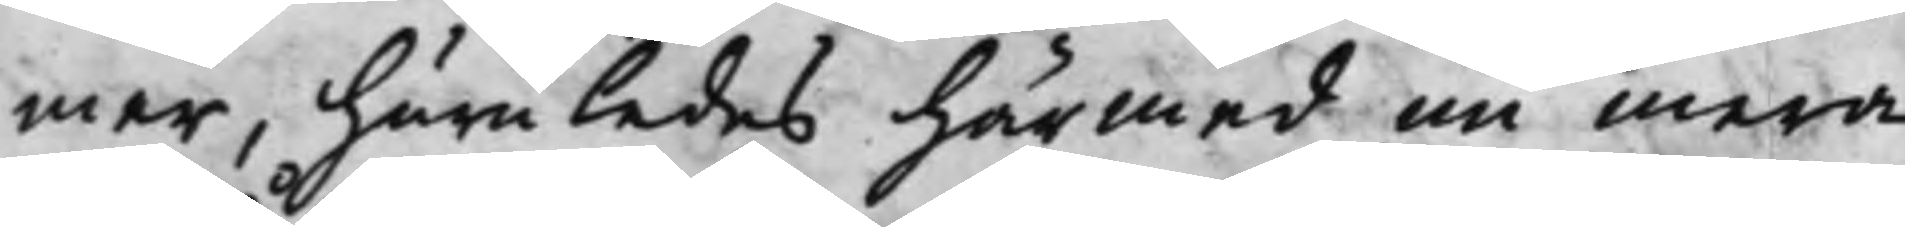mer, huruledes härmed nu mera
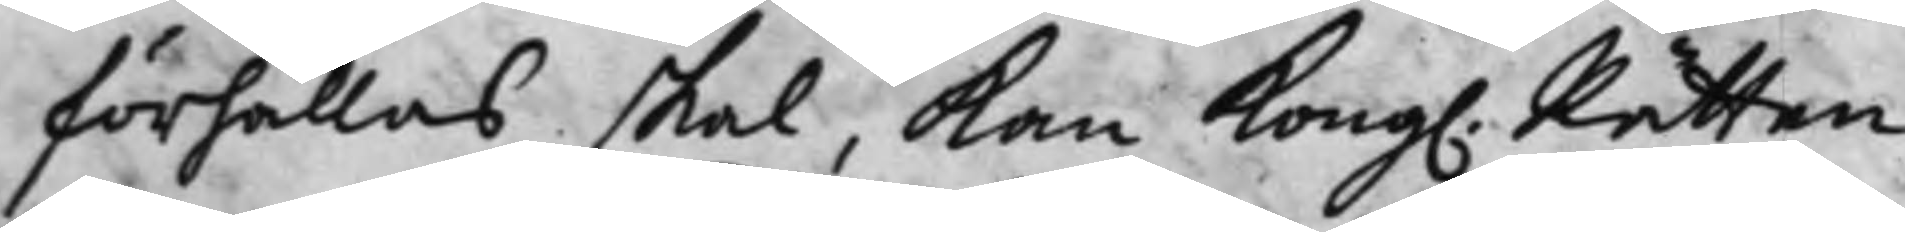förhållas skal, kan Kong. Rätten 
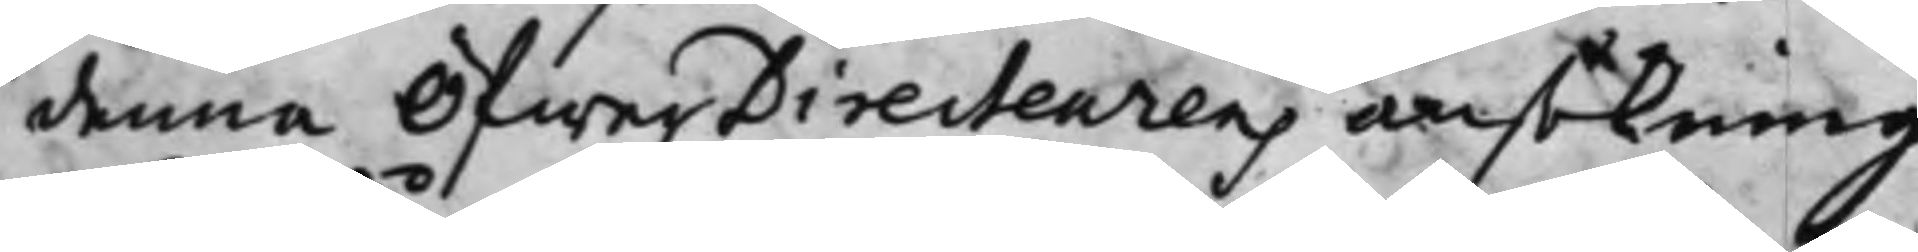denna ÖfwerDirecteurens ansökning
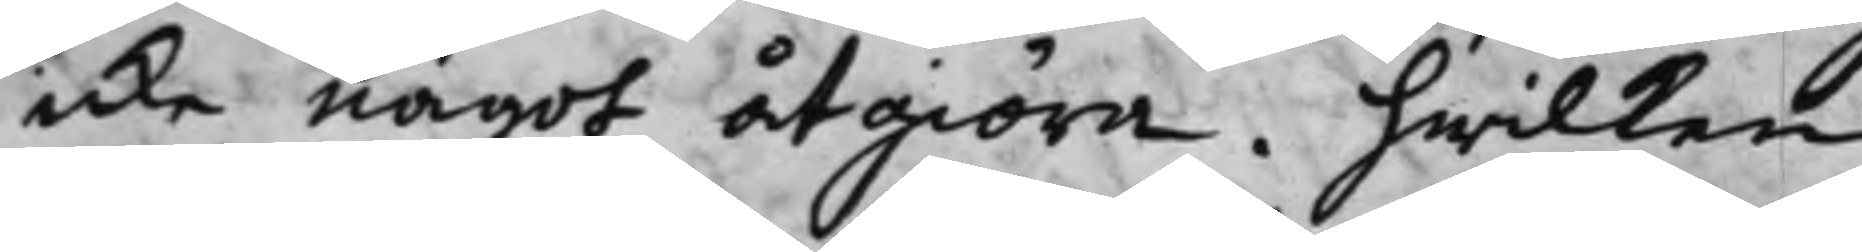icke något åtgiöra. hwilken
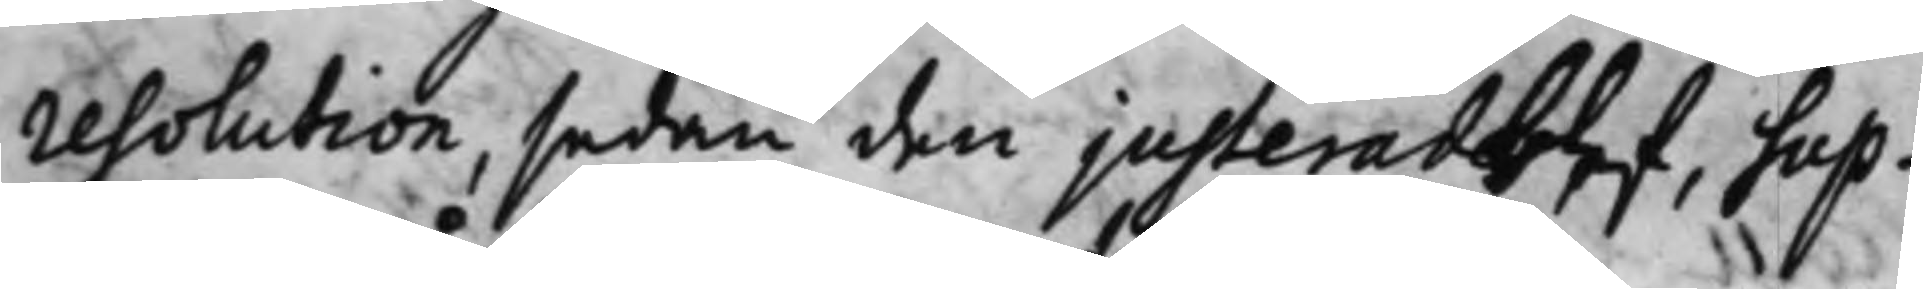resolution, sedan den justerat blef, Sup¬
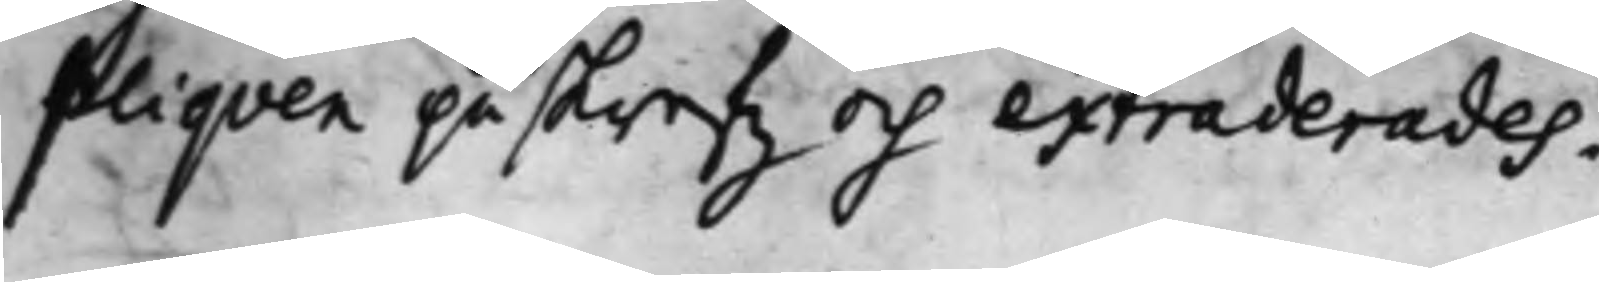pliqven påskrefz och extraderades.
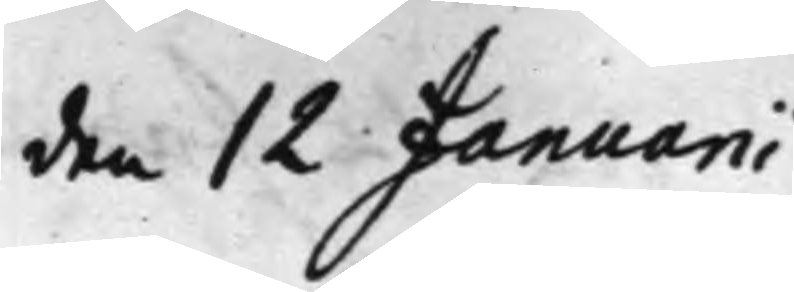den 12 Januarii
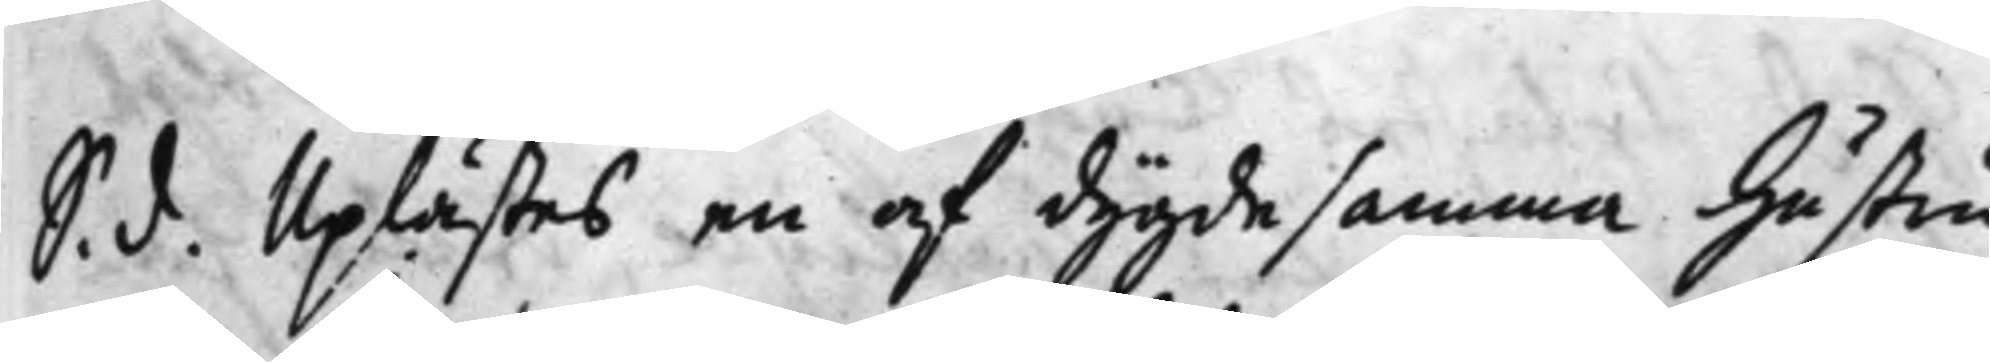S. d. Uplästes en af dygdesamma Hustru
